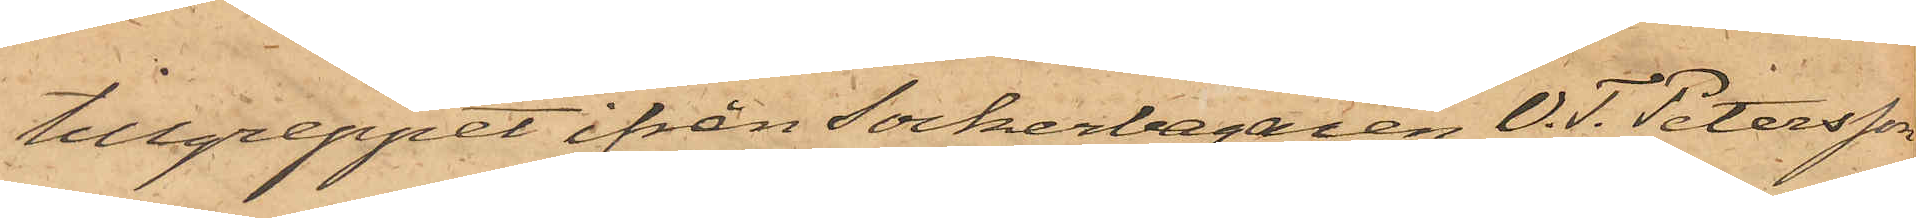tillgreppet ifrån Sockerbagaren V. T. Petersson
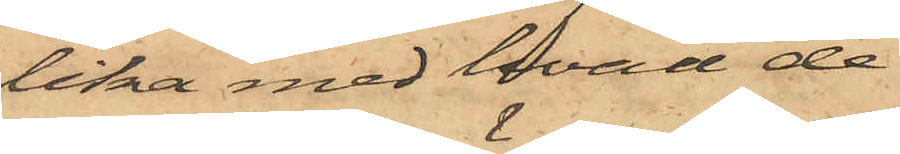lika med hvad de
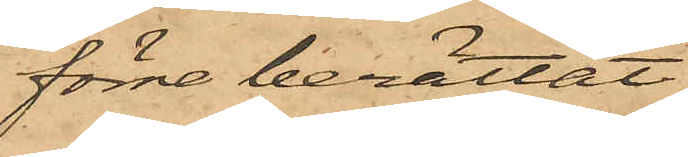förre berättat,
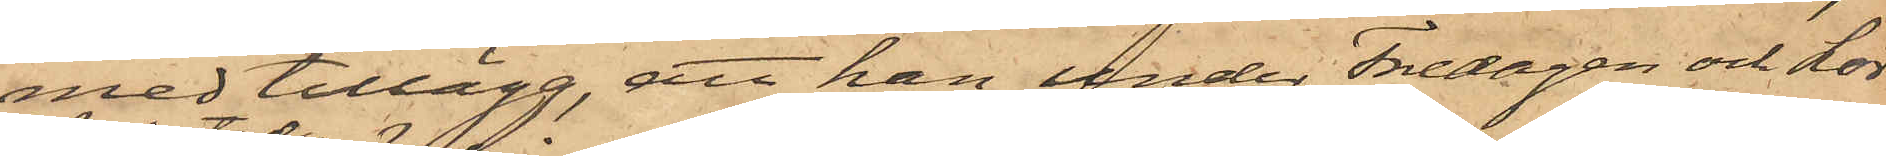med tillägg, att han under Fredagen och Lör¬
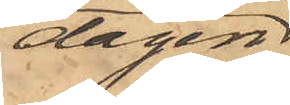dagen
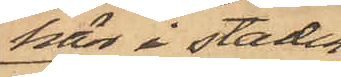här i staden
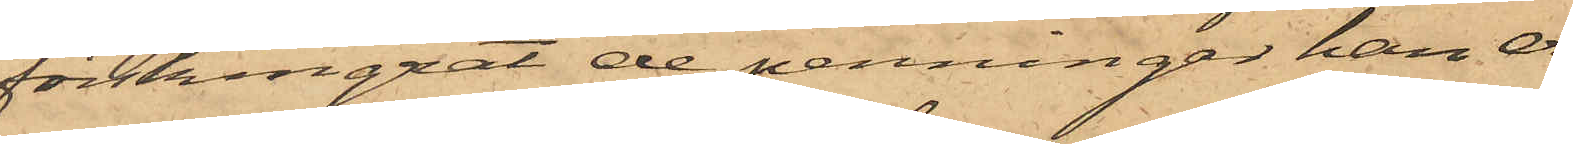förskingrat de penningar han er¬
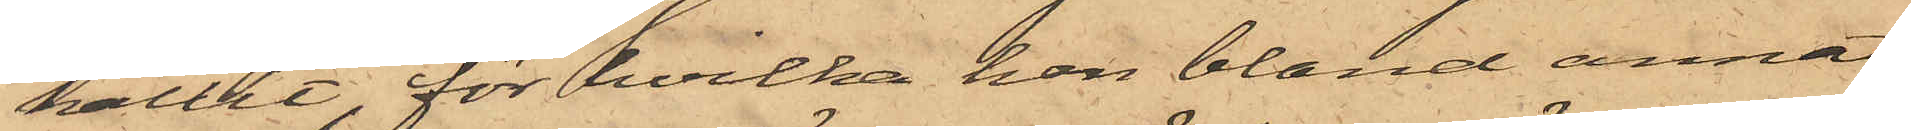hållit, för hvilka han bland annat
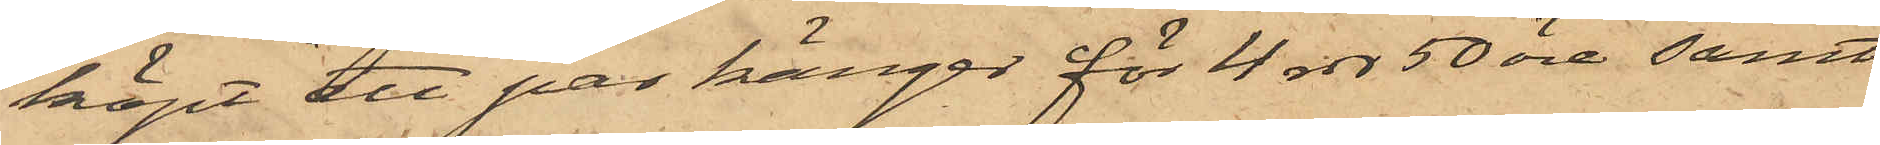köpt ett par kängor för 4 rdr 50 öre samt
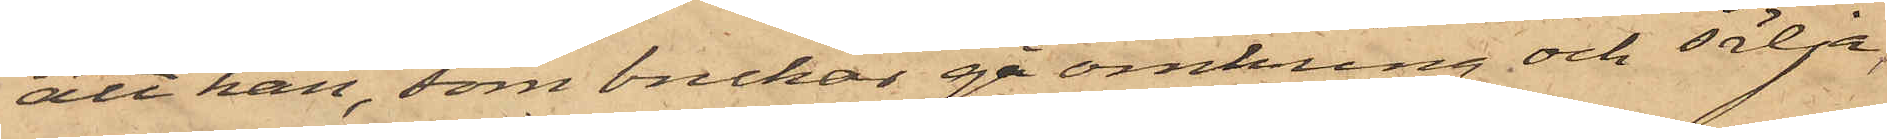att han, som brukar ge omkring och sälja,
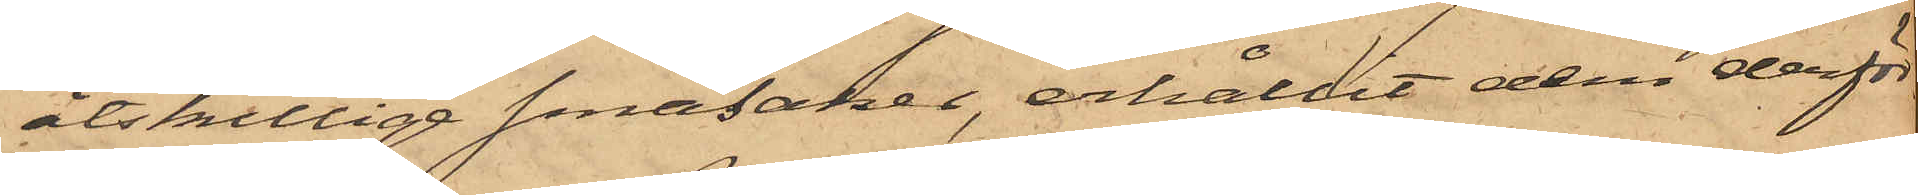åtskilliga småsaker, erhållit dem derför
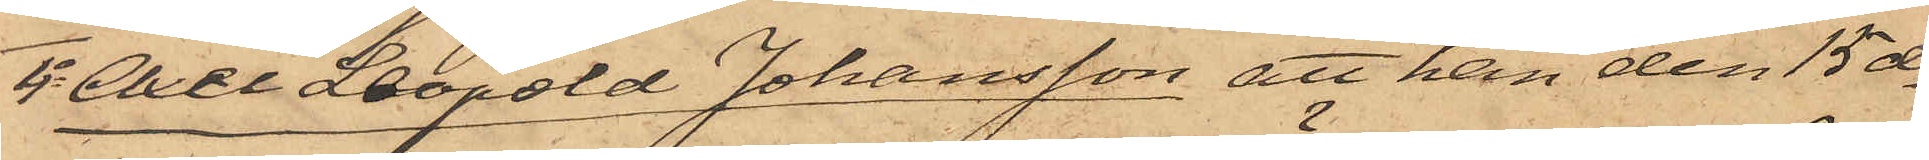4o Axel Leopold Johansson att han den 15 ds
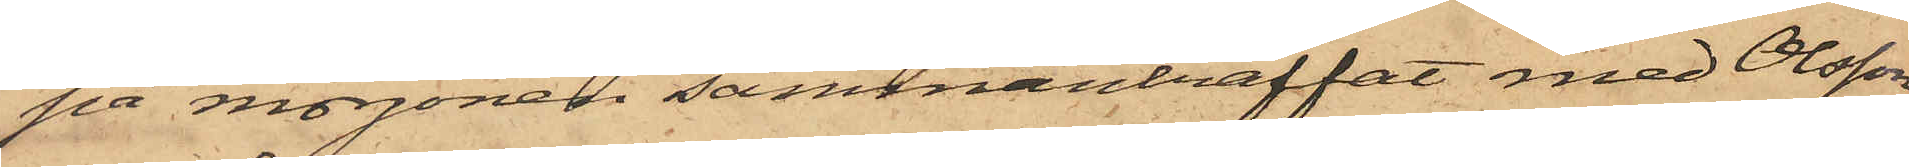på morgonen sammanträffat med Olsson
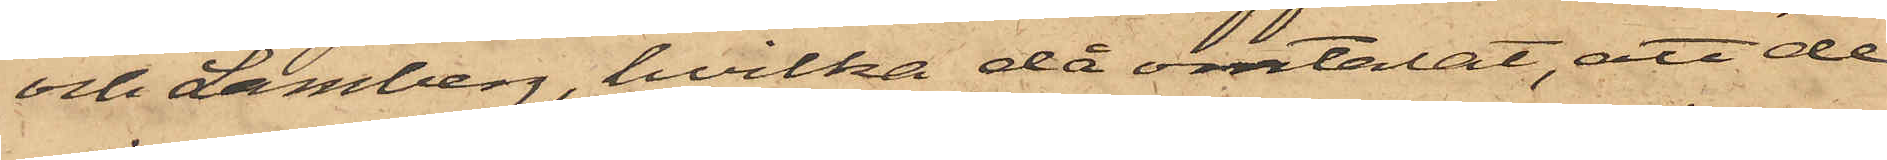och Lamberg, hvilka då omtalat, att de
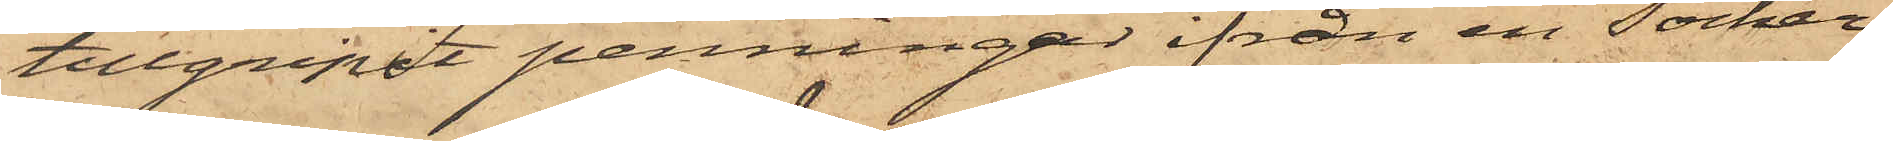tillgripit penningar ifrån en Socker¬
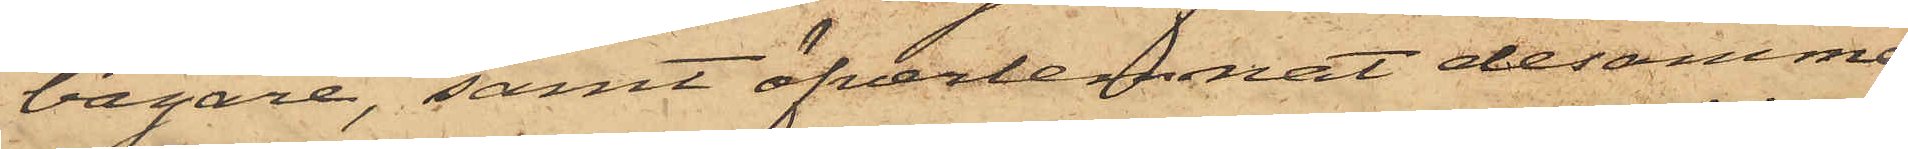bagare, samt öfverlemnat desamme
